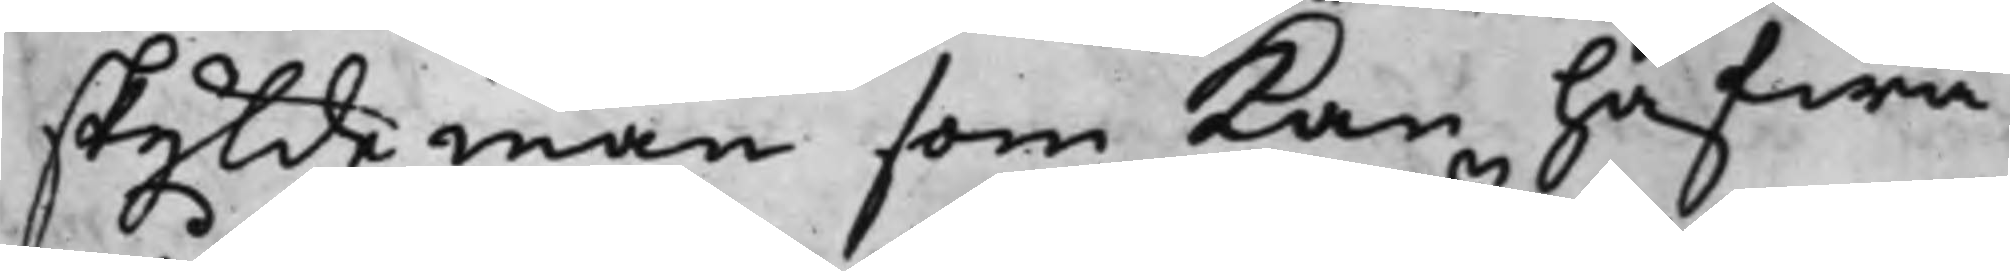skyldeman som kan hafwa
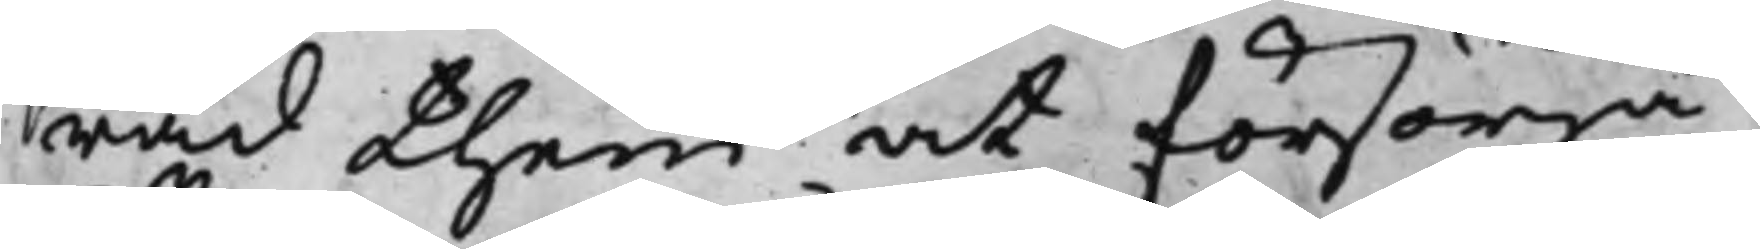råd them at försörja,
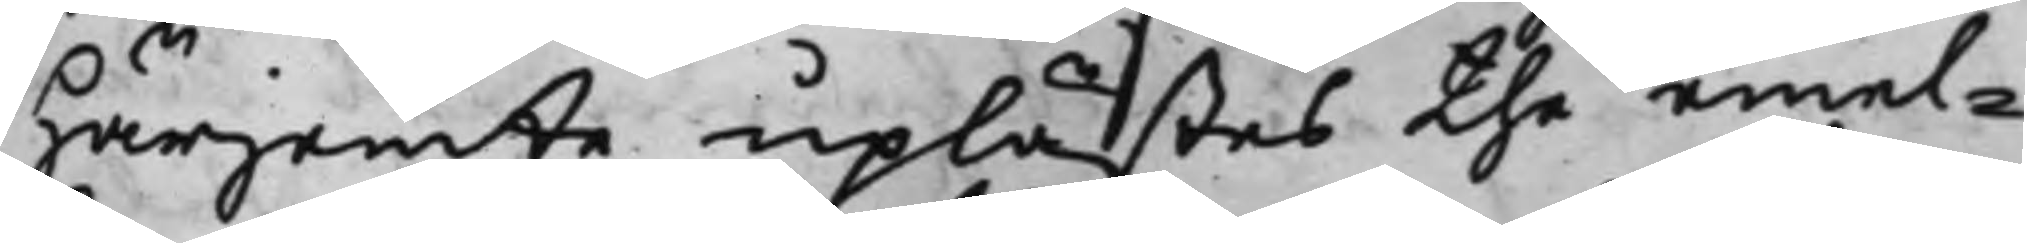härjemte uplästes the emel¬
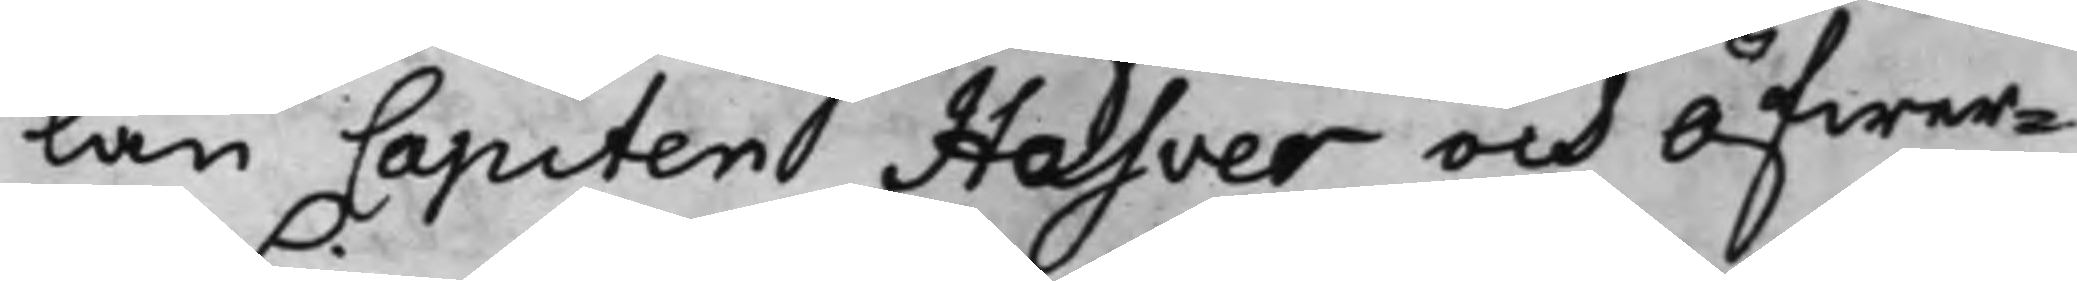lan Capiten Hasver och Öfwer¬
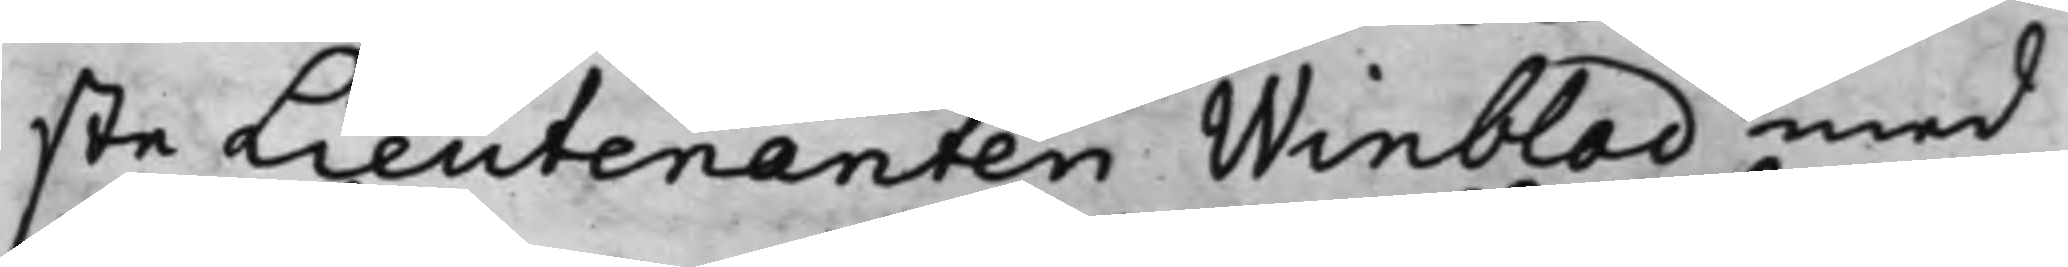ste Lieutenanten Winblad med
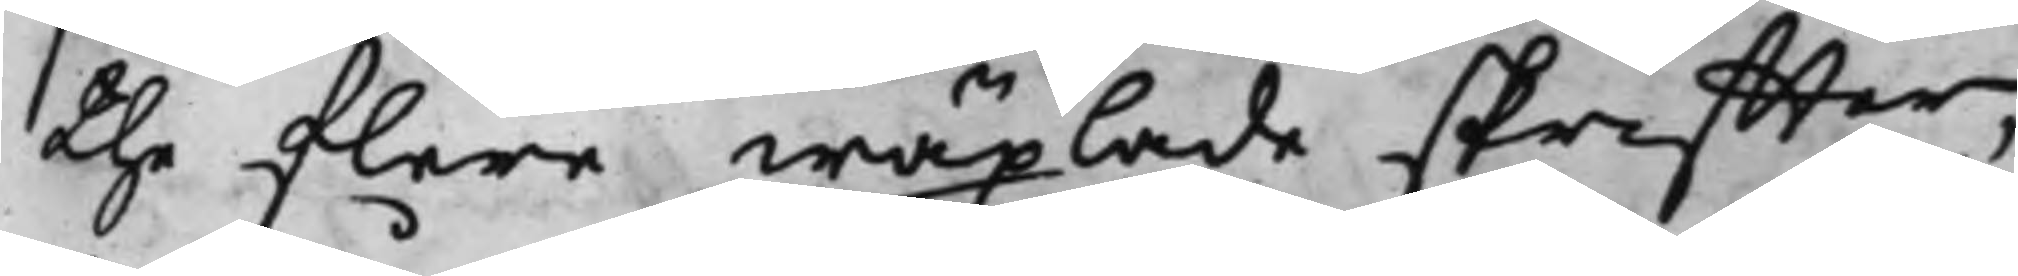the flere wäxlade skriffter,
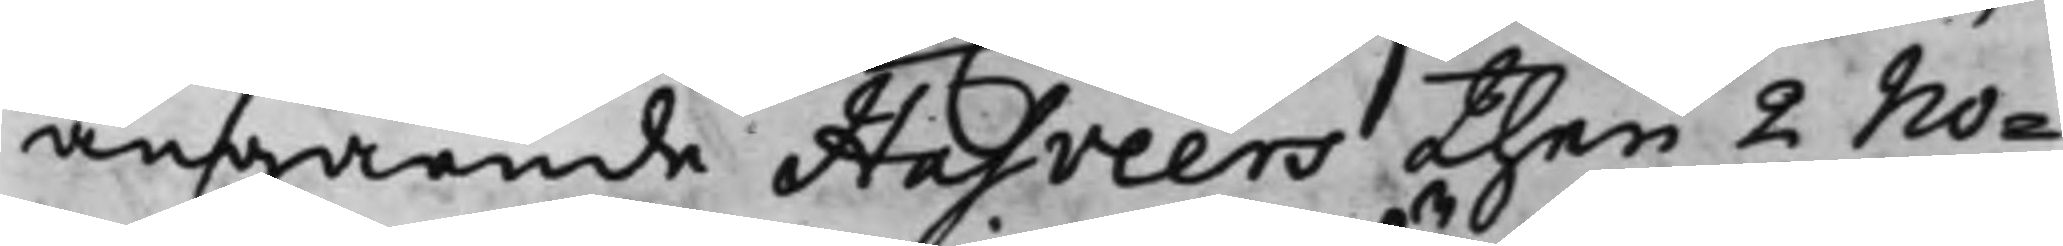angående Hasveers then 2 No¬
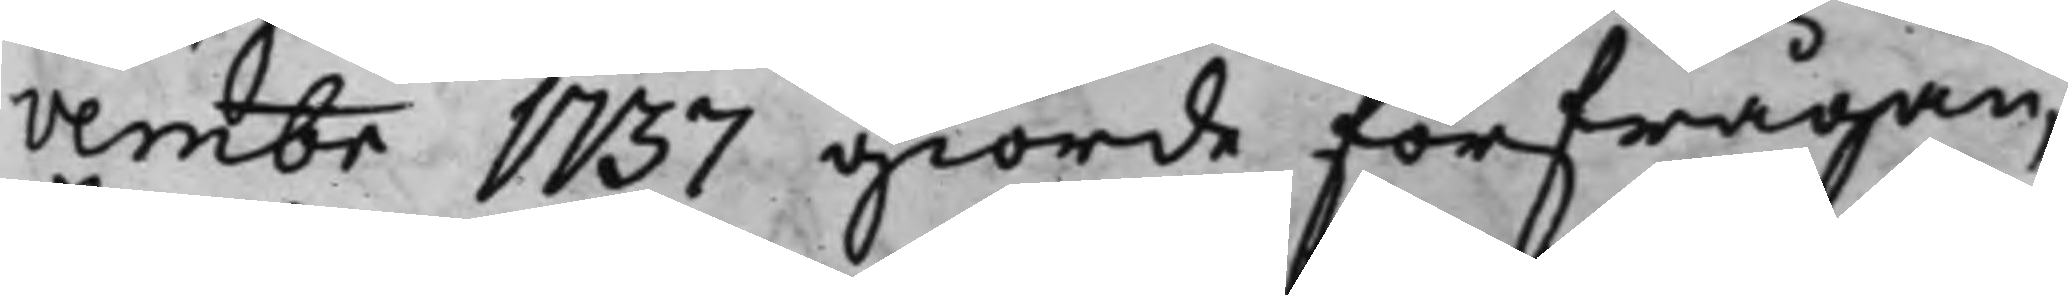vembr 1737 giorde förfrågan,
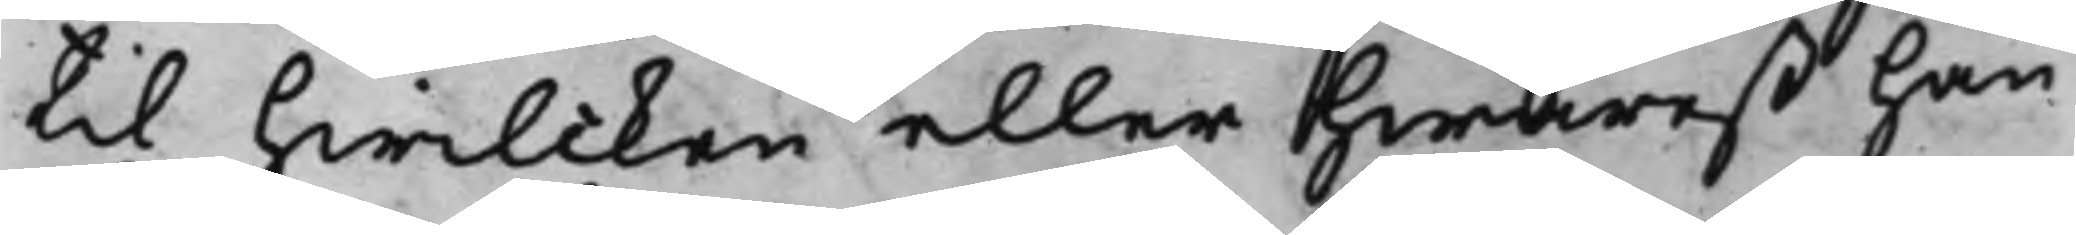til hwilcken eller hwaret han
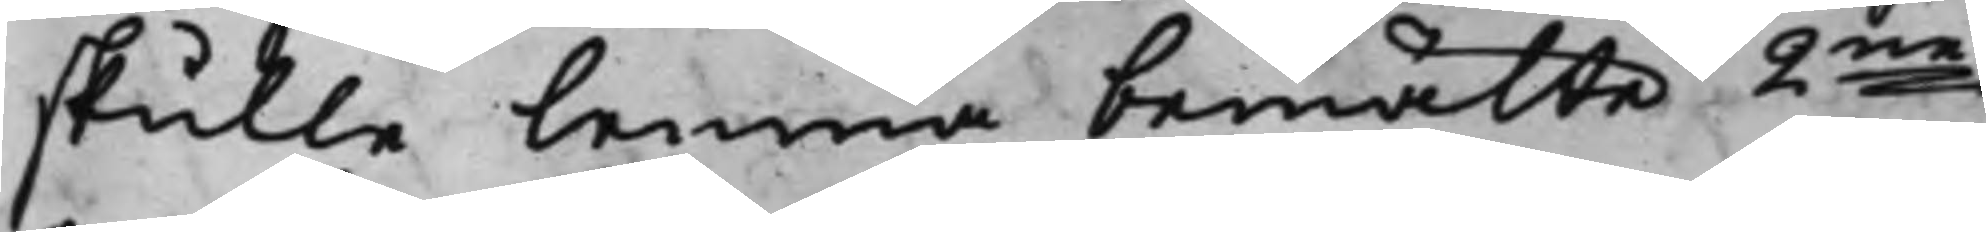skulle lemna bemälte 2ne
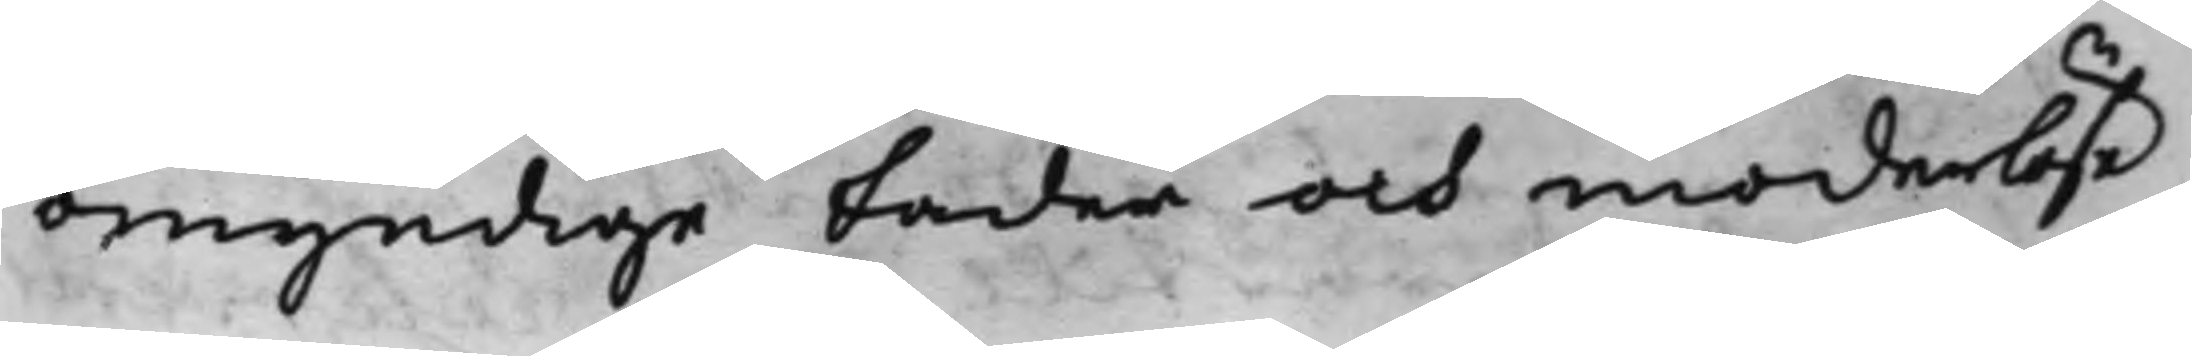omyndige fader och moderlöse
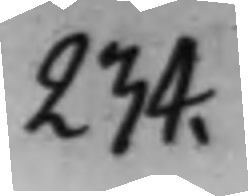234.
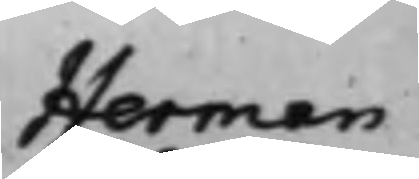Herman
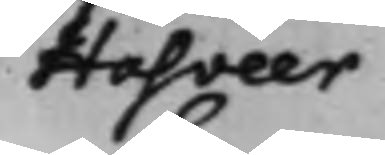Hasveer
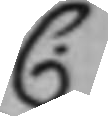C.
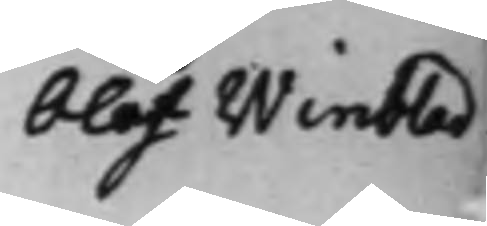Olof Winblad
